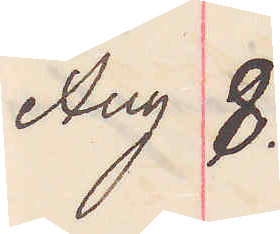Aug 8.
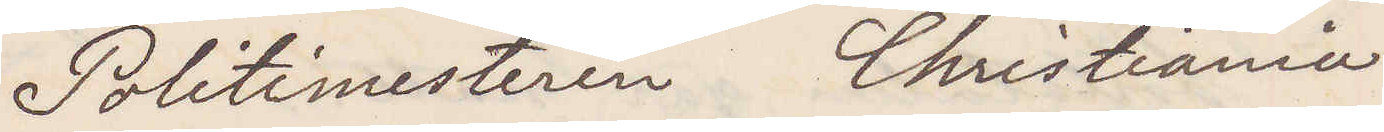Politimesteren Christiania
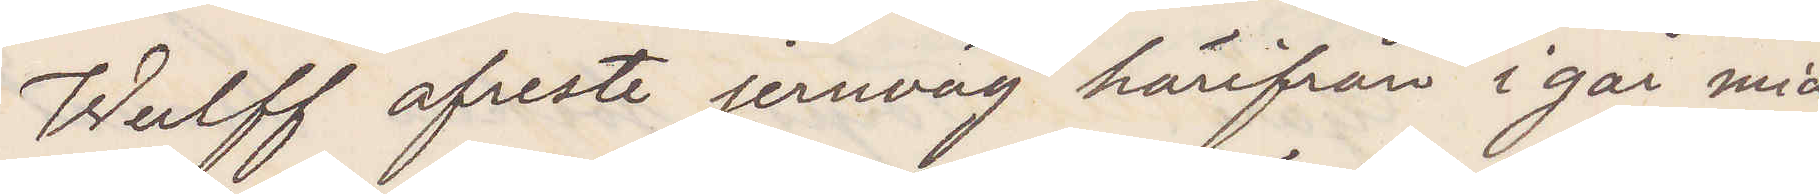Wulff afreste jernväg härifrån i går mid¬
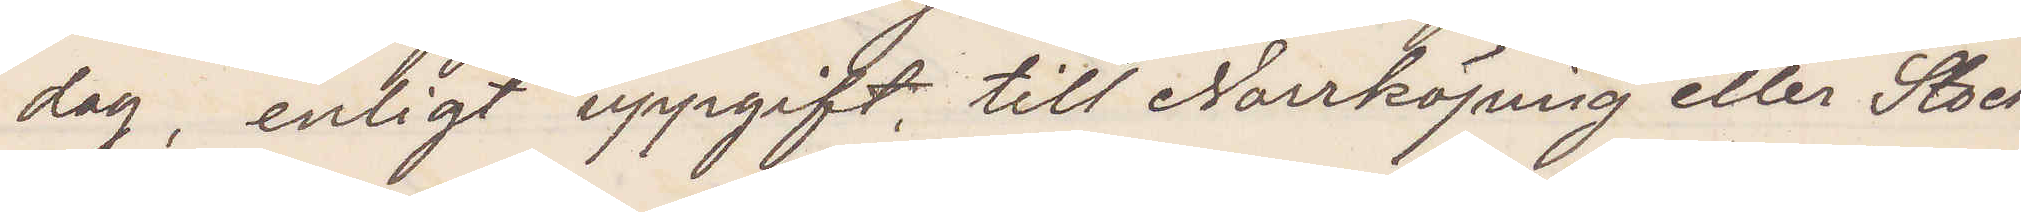dag, enligt uppgift till Norrköping eller Stock¬
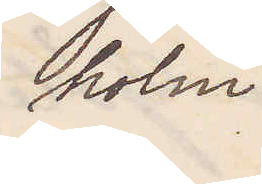holm
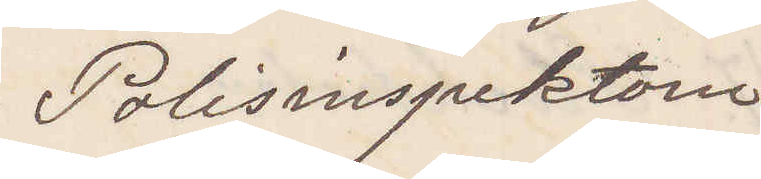Polisinspektorn
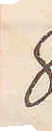8
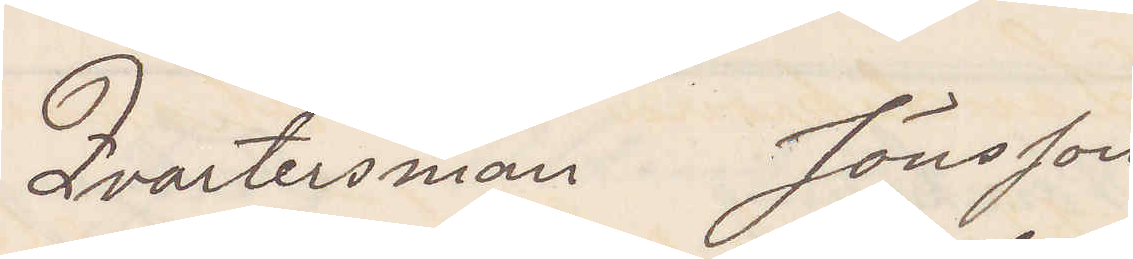Qvartersman Jönsson
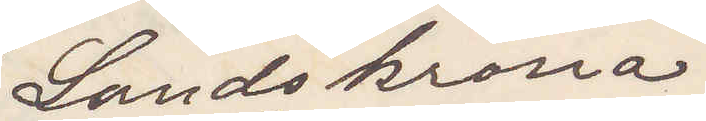Landskrona
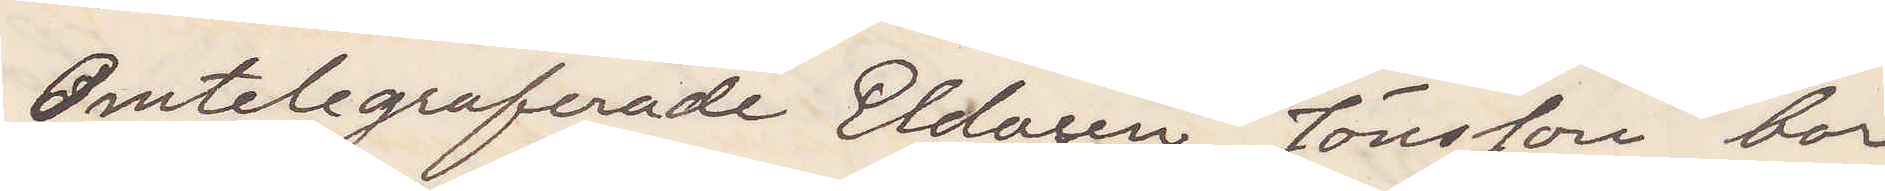Omtelegraferade Eldaren Jönsson bor
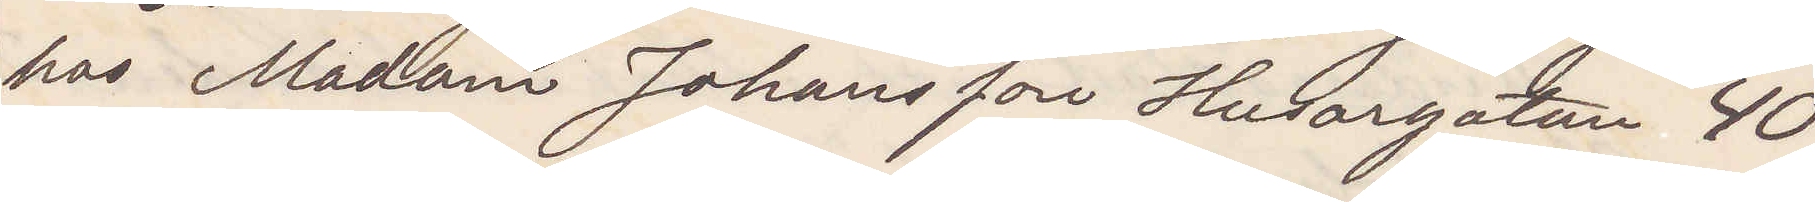hos Madam Johansson Husargatan 40
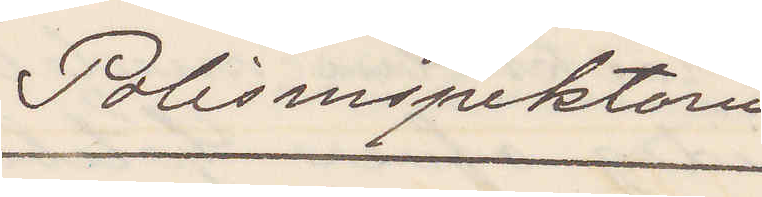Polisinspektorn
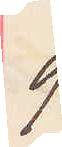9
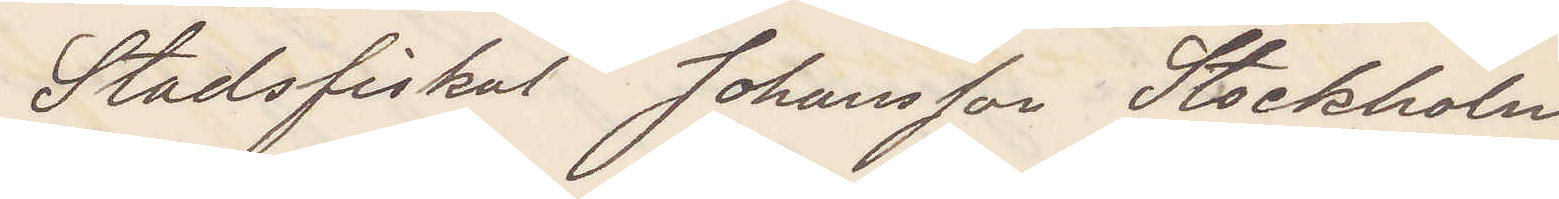Stadsfiskal Johansson Stockholm
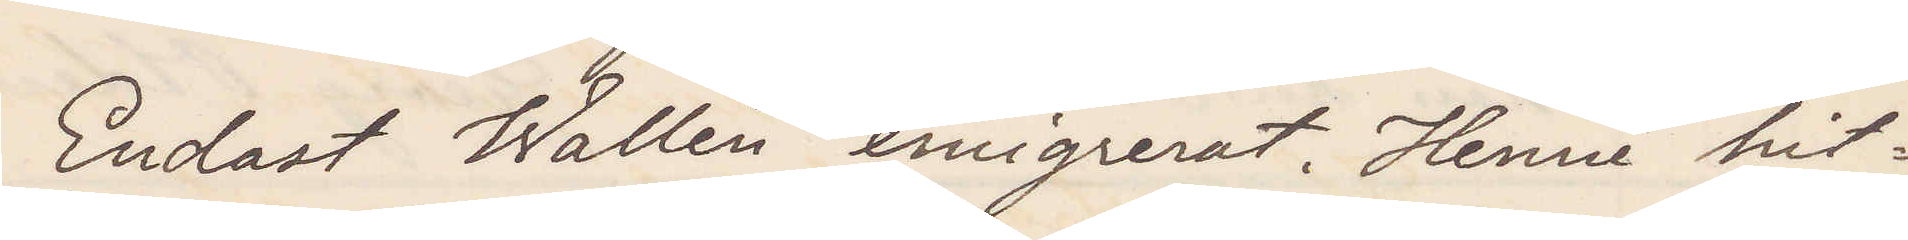Endast Wallén emigrerat. Henne hit¬
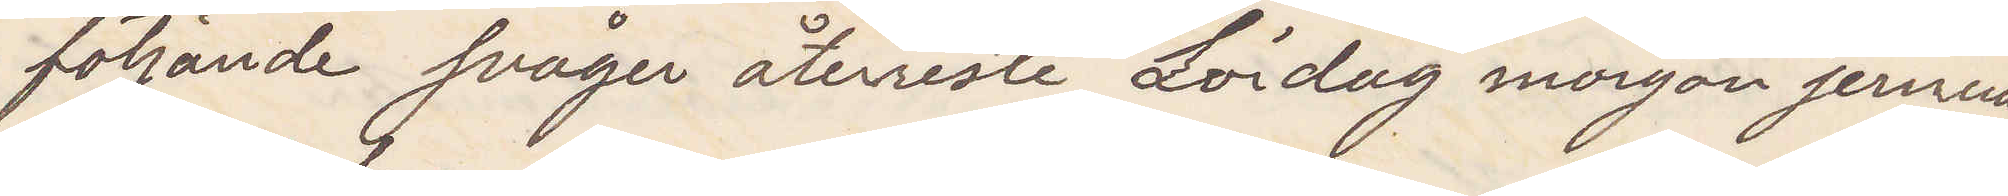följande svåger återreste Lördag morgon jernväg
